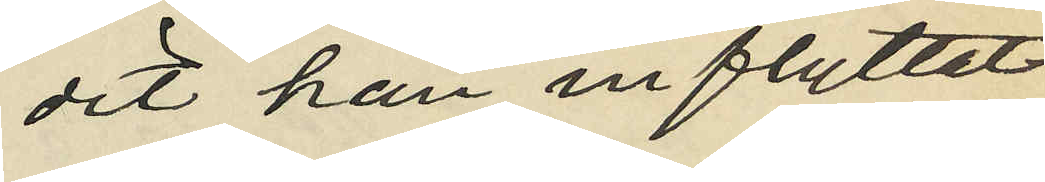dit han inflyttat
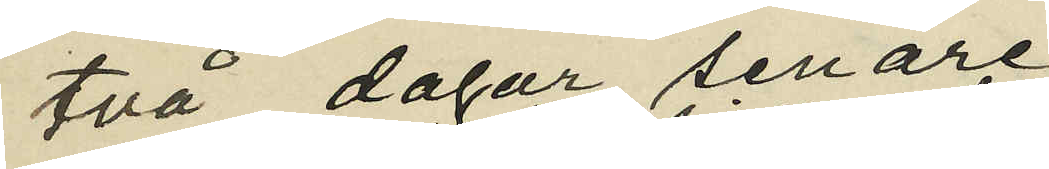två dagar senare;
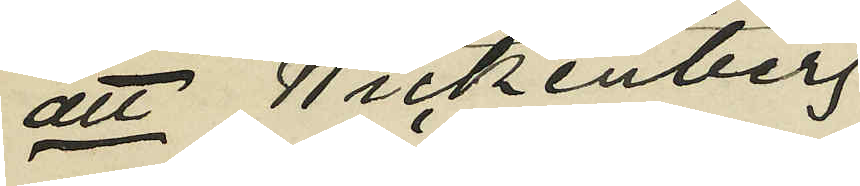att Wickenberg
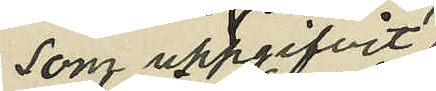som uppgifvit:
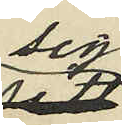sig
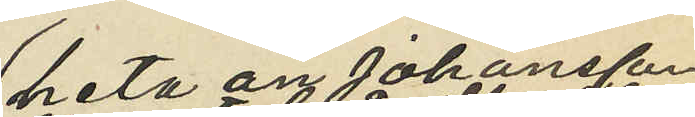heta än Johansson
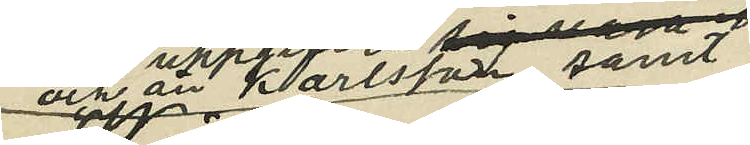och än Karlsson samt
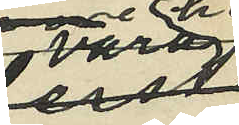vara
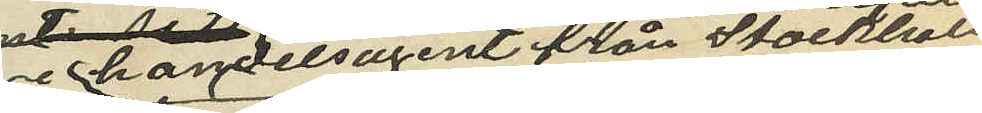handelsagent från Stockholm,
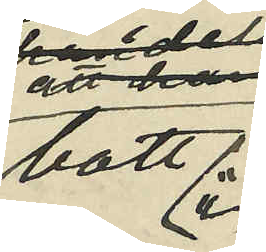bott i
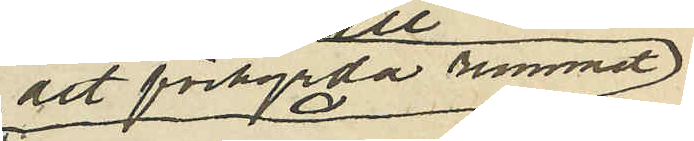det förhyrda rummet
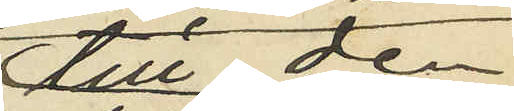till den
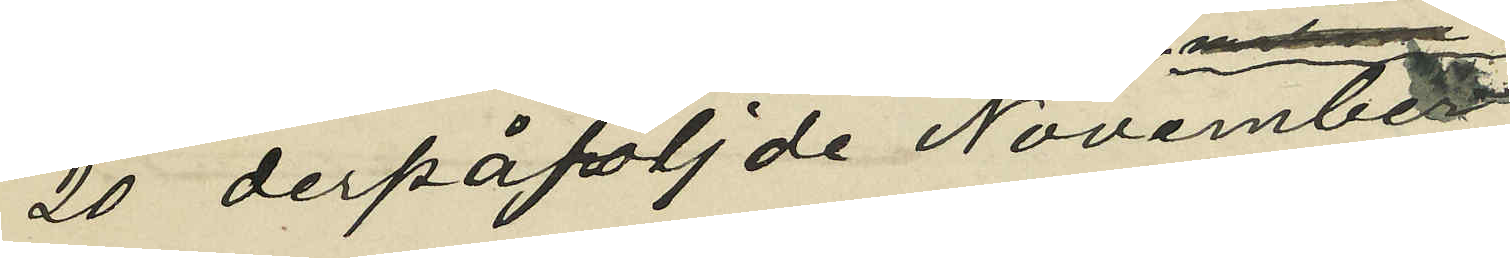20 derpåföljde November;
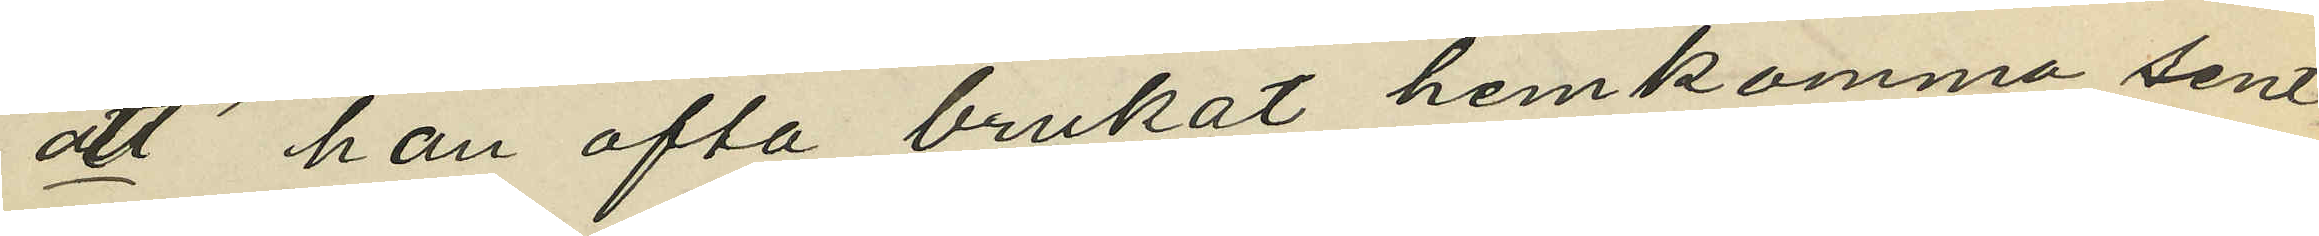att han ofta brukat hemkomma sent
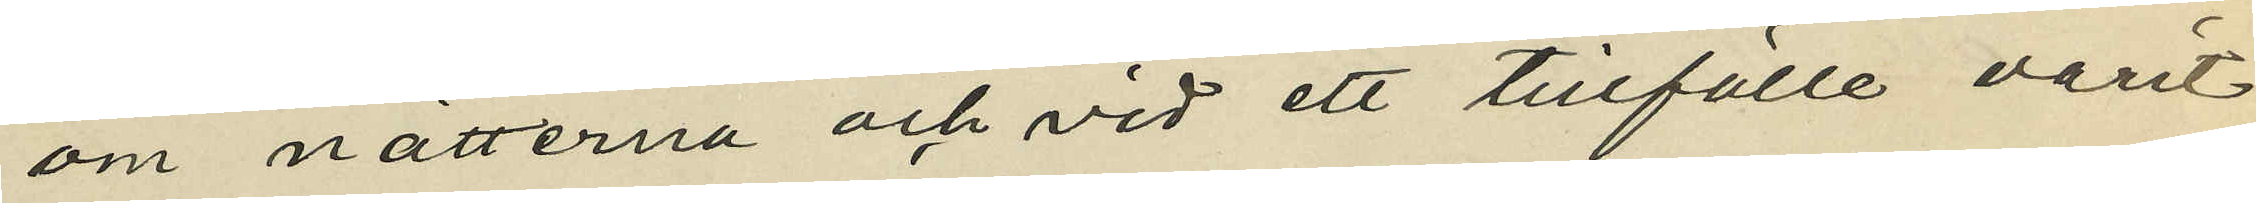om nätterna och vid ett tillfälle varit
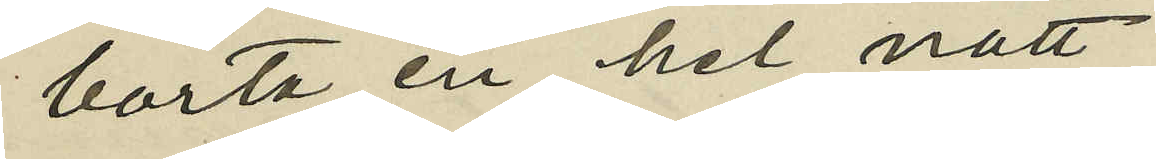borta en hel natt,
